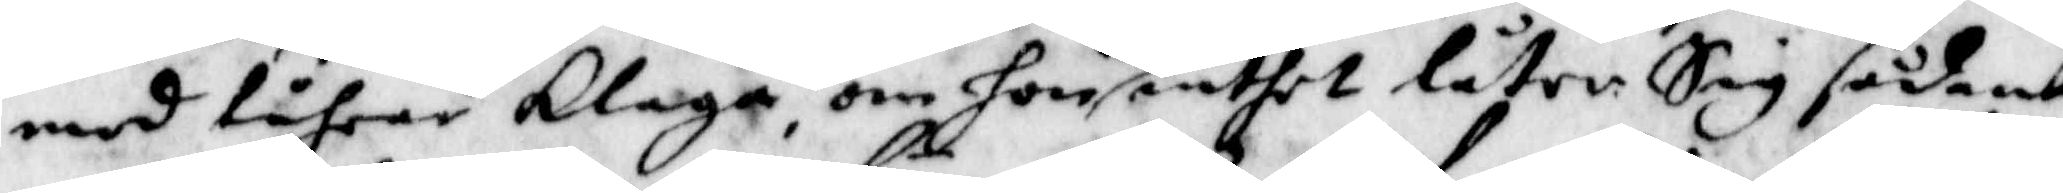med tåhrar klaga, om hon nu inthet låter Sig sådant
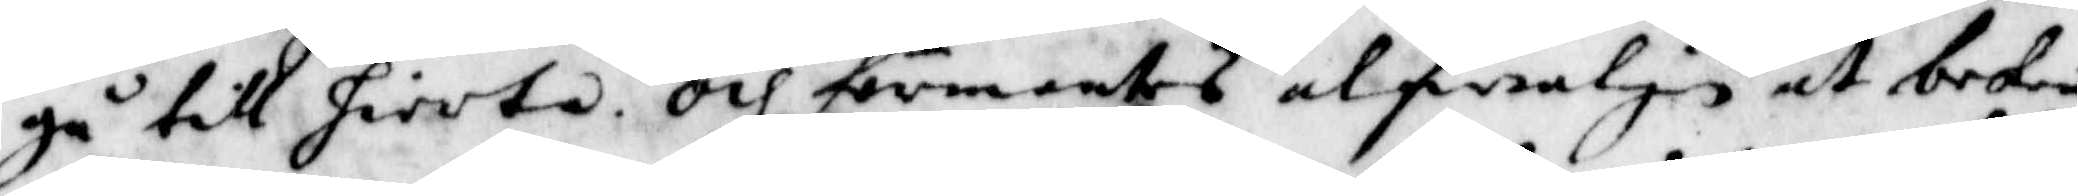gå till hiertat, och förmantes alfwarligen at bekiä
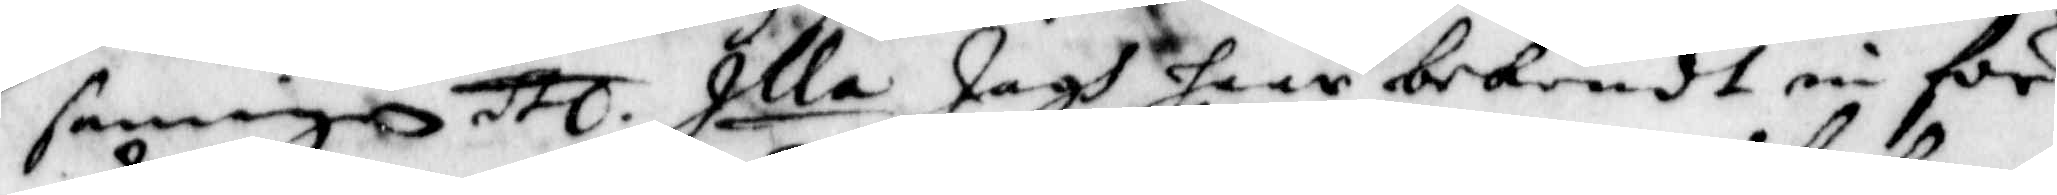sanningen etc. Illa Jagh haar bekendt in för
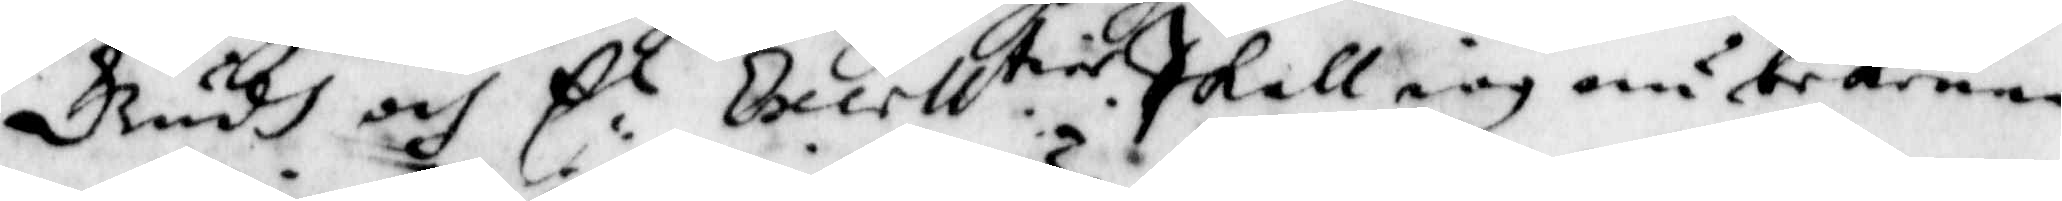Gudh och E:l Excell.tier. Skall iag nu bekenna
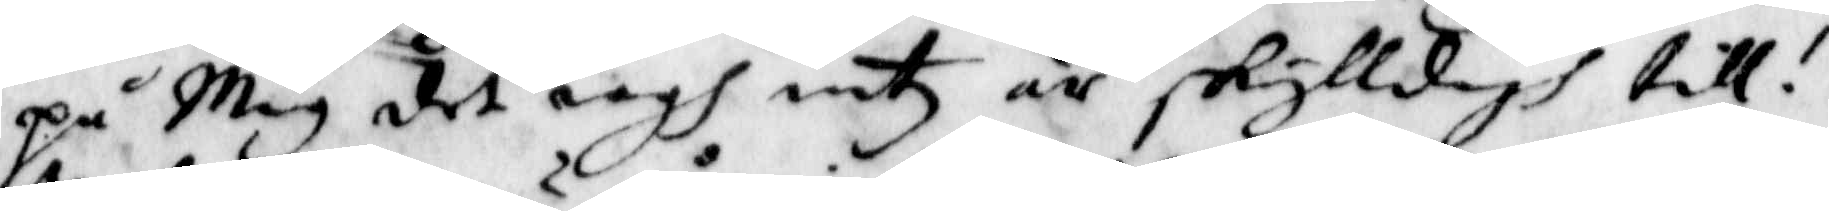på Mig det iagh intz är skylldigh till!
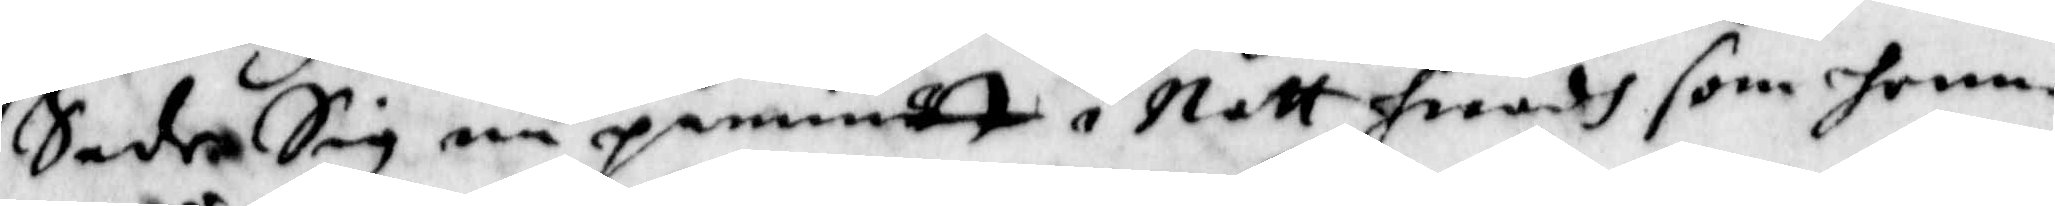Sade Sig nu påminnet i Natt hwadh som henne
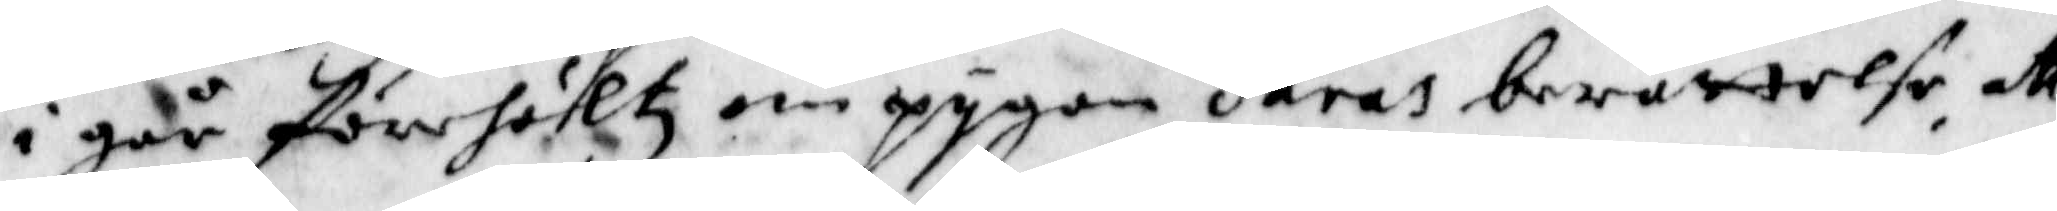i går förehöltz om pygan Saras berättelse, att
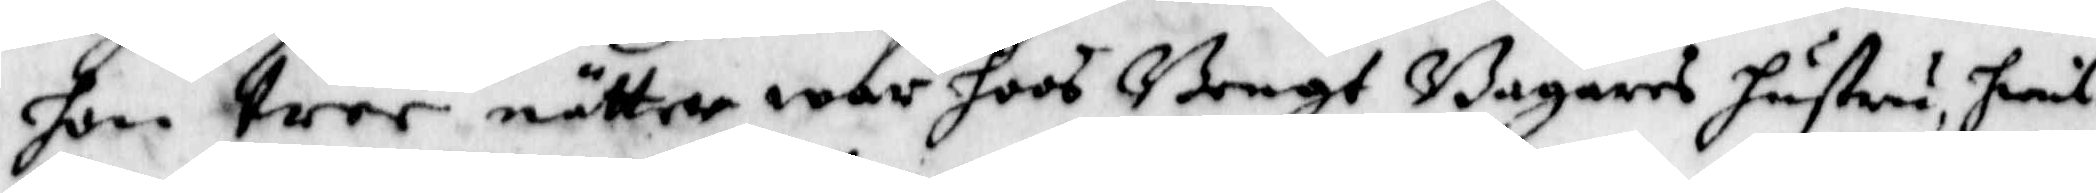hon tree nätter war hoos Bengr Bagares hustru, hwil¬
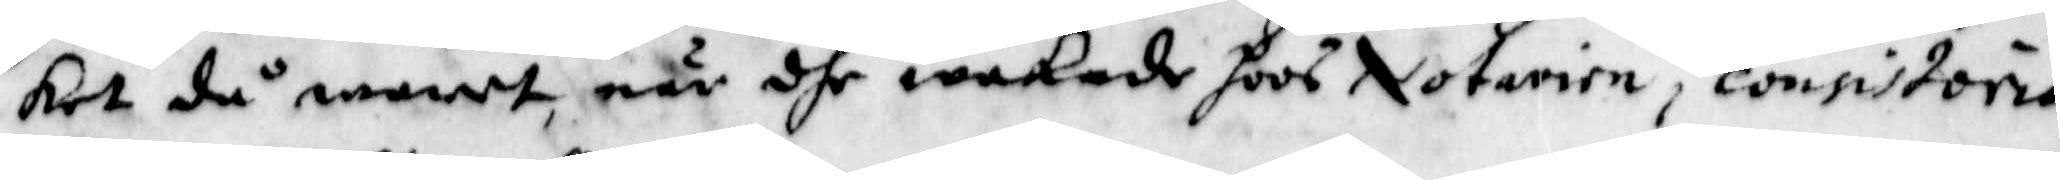ket då waret, när dhe nekade hoos Notarien i consistorie
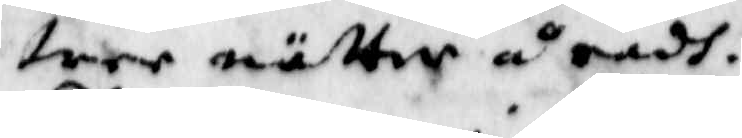tree nätter å radh.
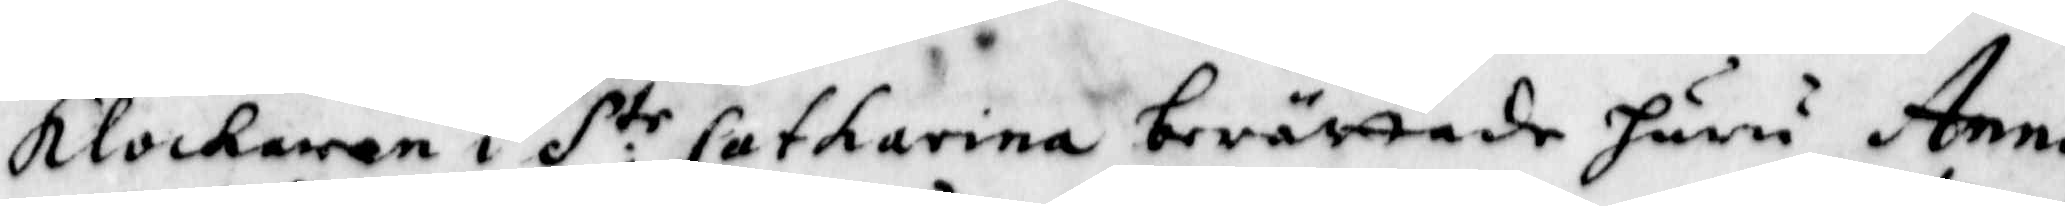Klockaren i S:te Catharina berättade huru Anna
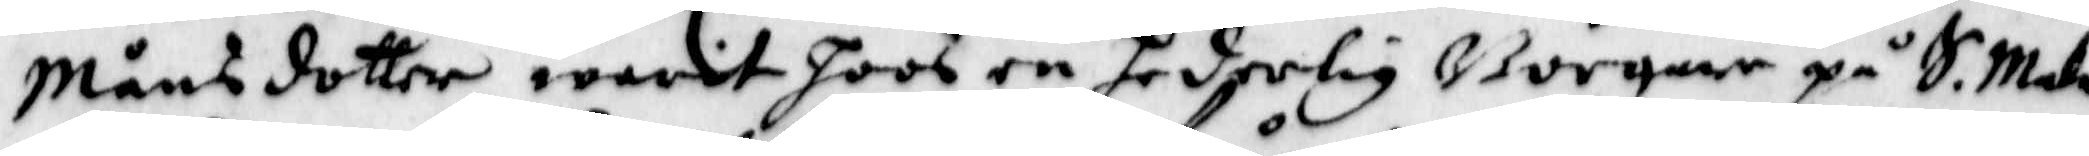Månsdotter warit hoos en hederlig Borgare på S. Malm
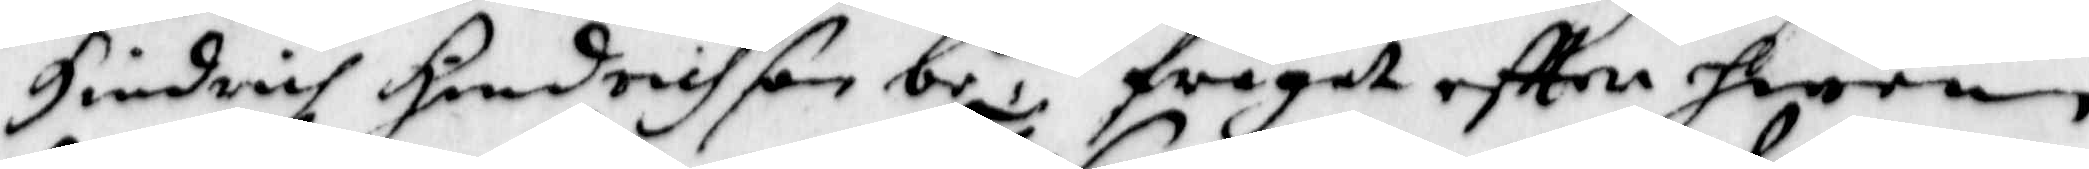Hindrich Hindrichson be,dh frågat eftter hwem
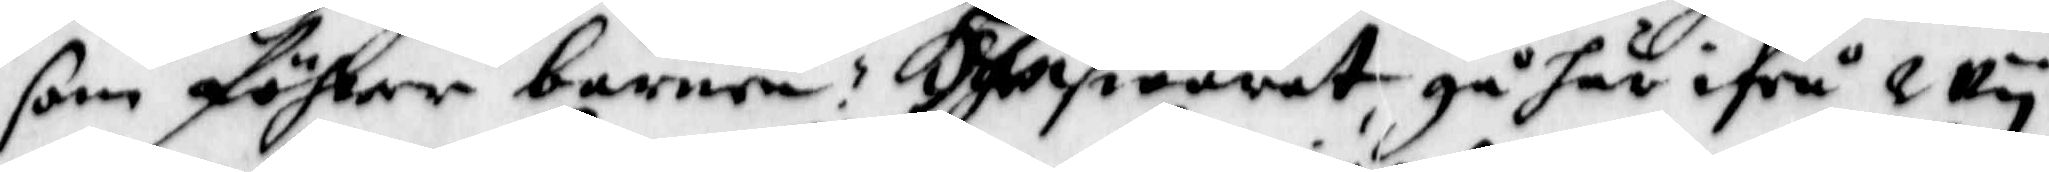som föhrer barnen? Han swarat gå här ifrå, Wy
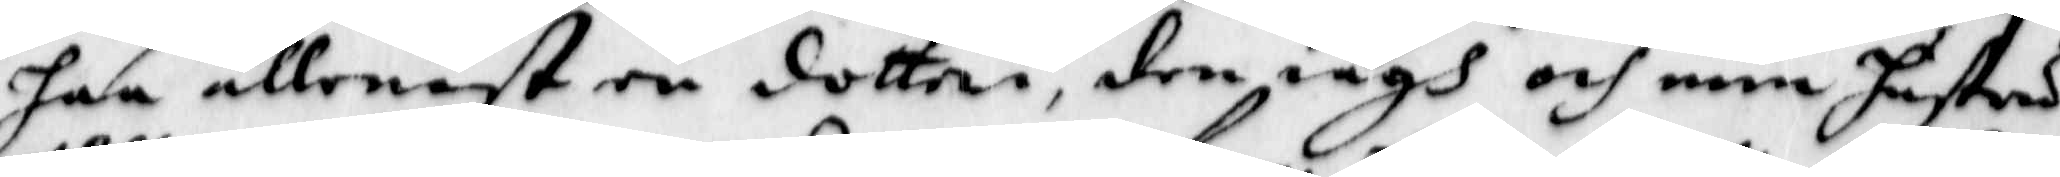haa allenast en dotter, den iagh och min hustru
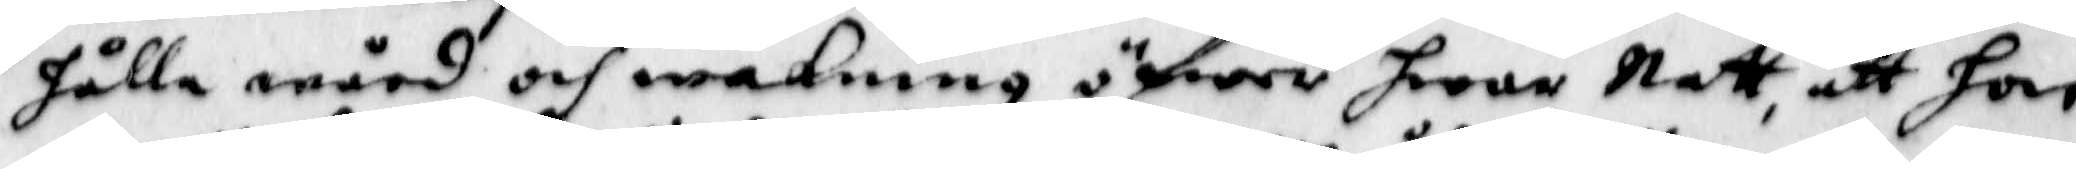hålla wård och wakning öfwer hwar Natt, att hon
